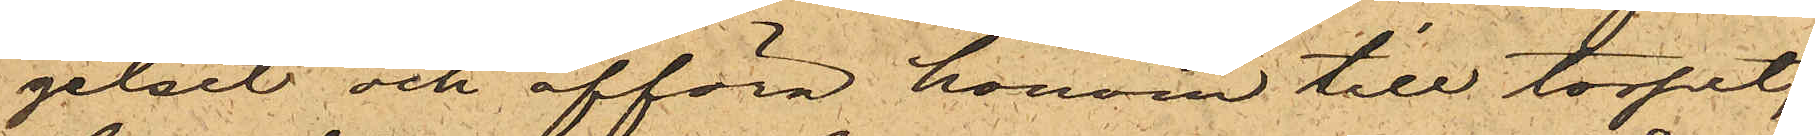gelset och afföra honom till torpet,
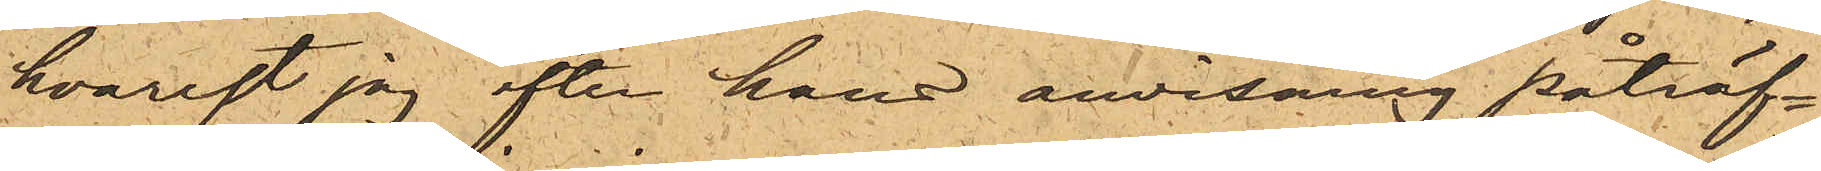hvarest jag efter hans anvisning påträf¬
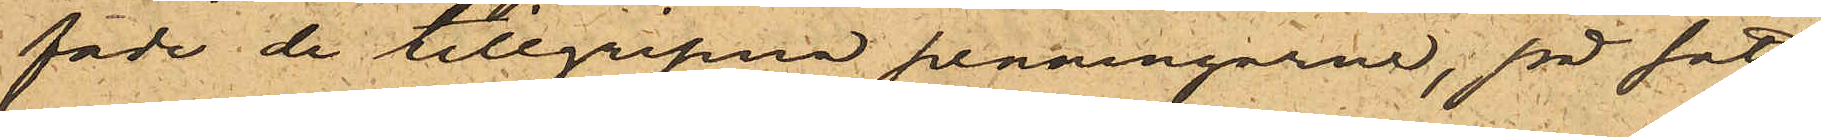fade de tillgripna penningarne, på sätt
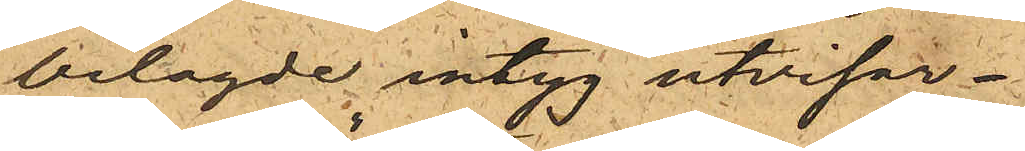bilagde intyg utvisar.
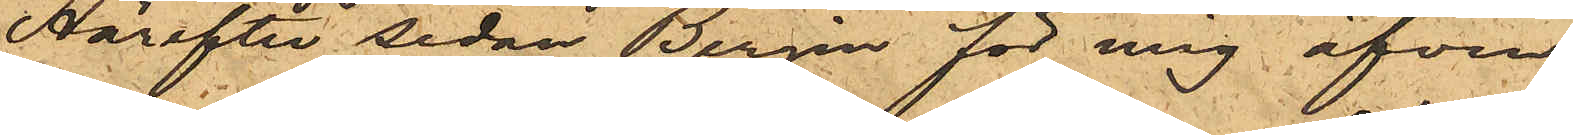Härefter sedan Bergin för mig äfven
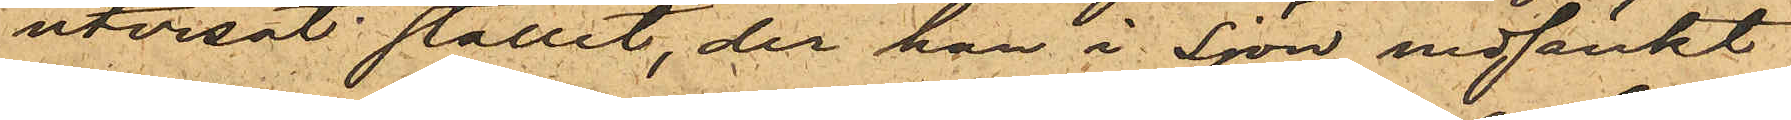utvisat stället, der han i sjön nedsänkt
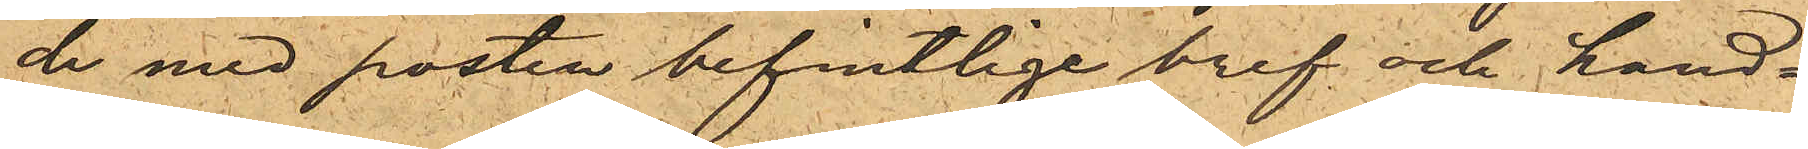de med posten befintlige bref och hand¬
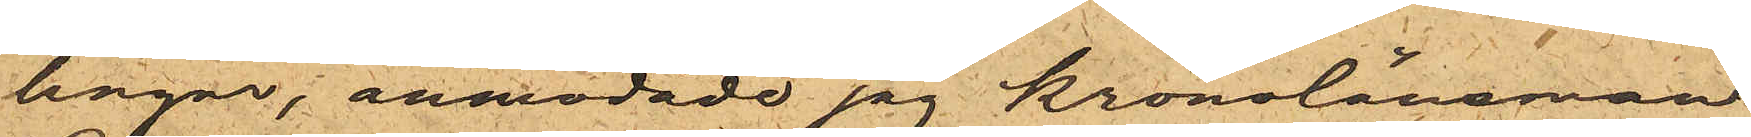lingar, anmodade jag Kronolänsman
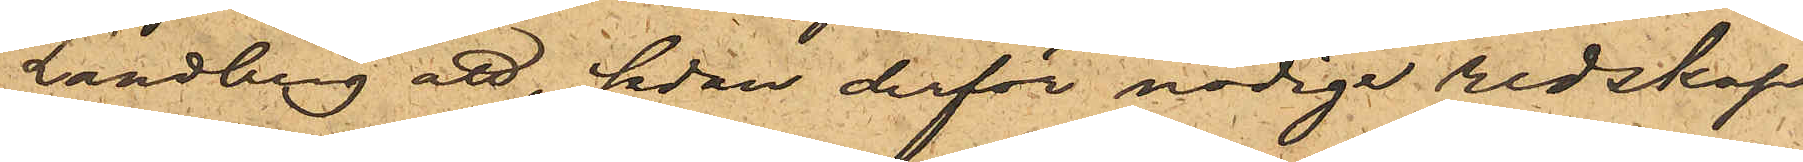Landberg att, sedan derför nödige redskap
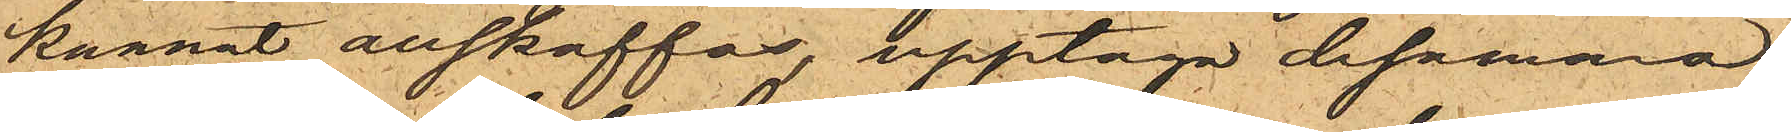kunnat anskaffas, upptaga desamma,
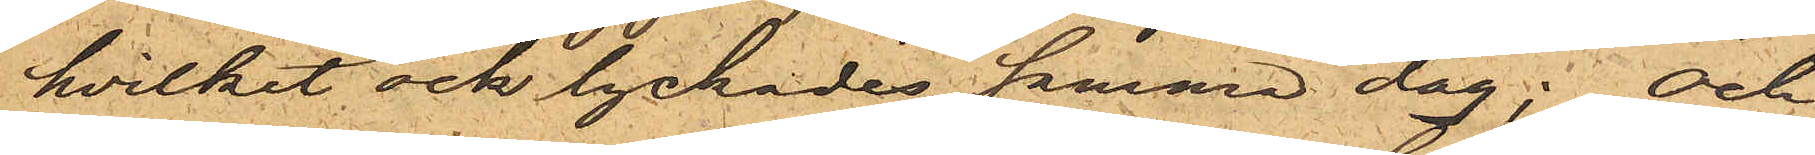hvilket ock lyckades samma dag; och
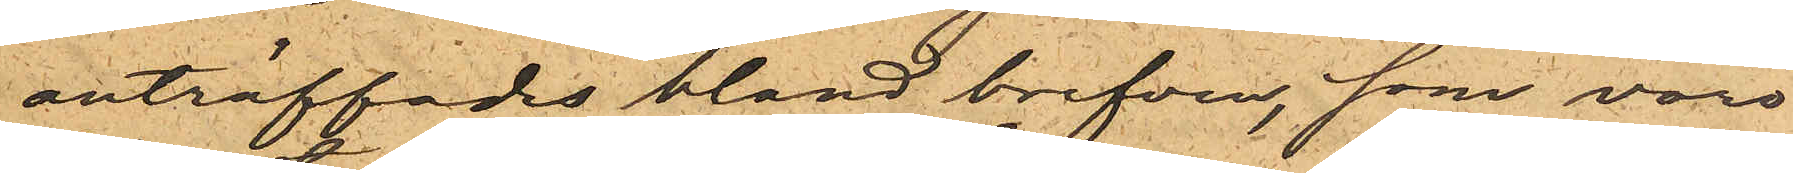anträffades bland brefven, som voro
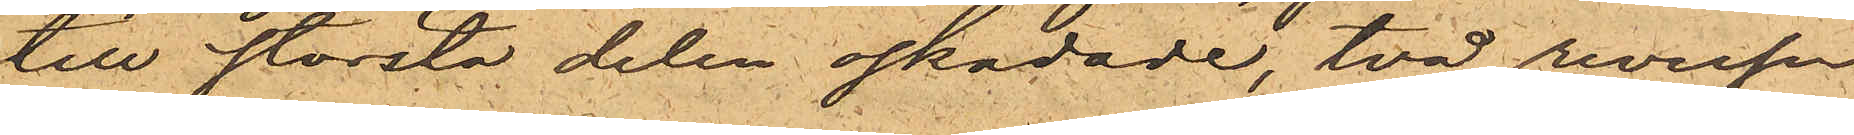till största delen oskadade, två reverser
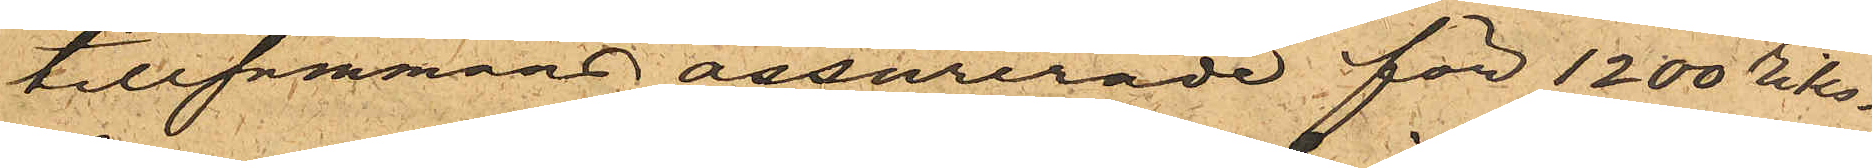tillsammans assurerade för 1200 riks¬
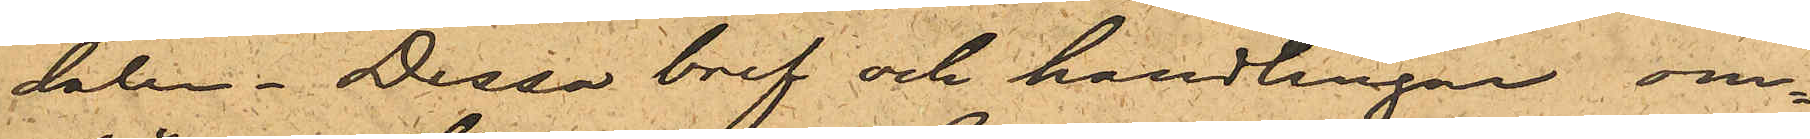daler. Dessa bref och handlingar om¬
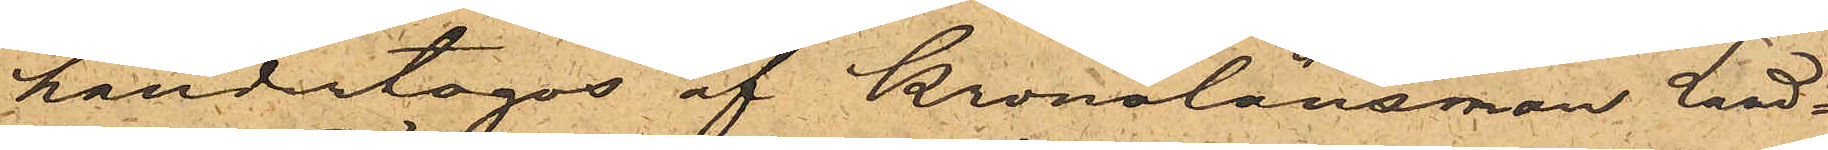händertogos af Kronolänsman Land¬
